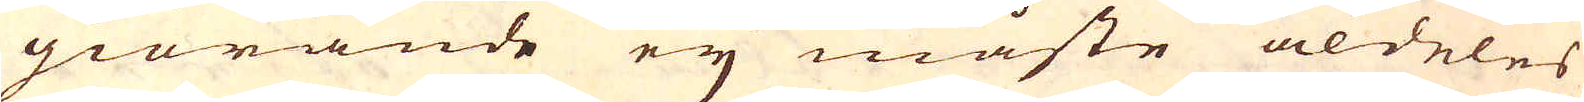giörande ey måste aldeles
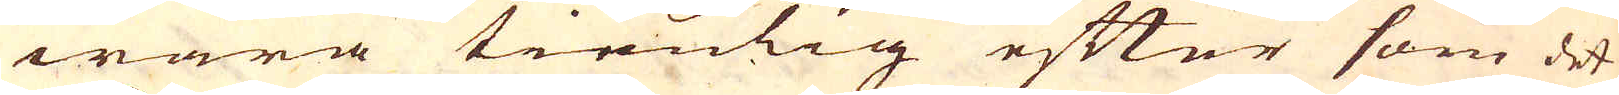wara tienlig efter som det
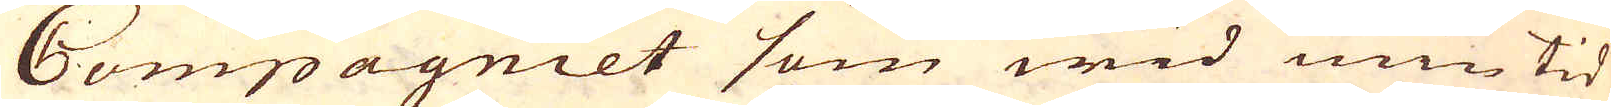Compagniet som wid min tid
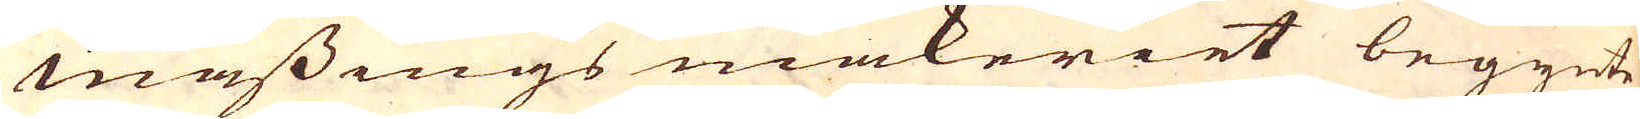mässings makeriet begynte
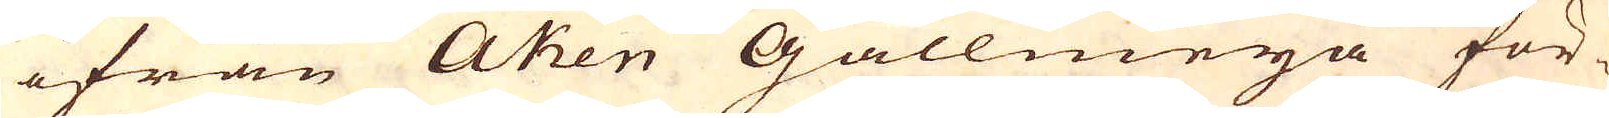ifrån Aken Gallmeya för-
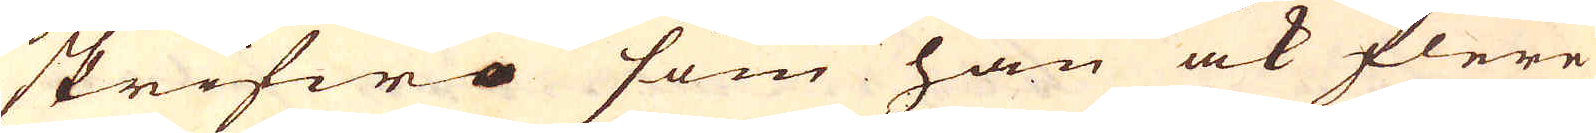skrifwa som han ock flere
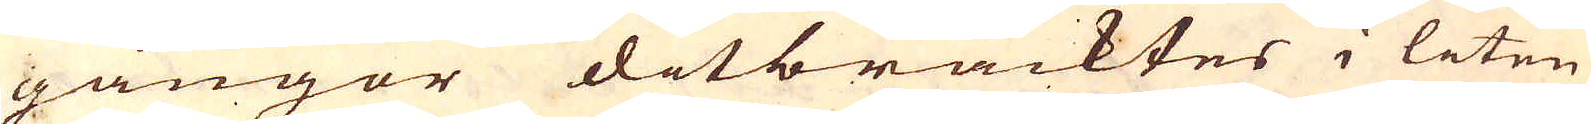gångor ditbracktes i liten
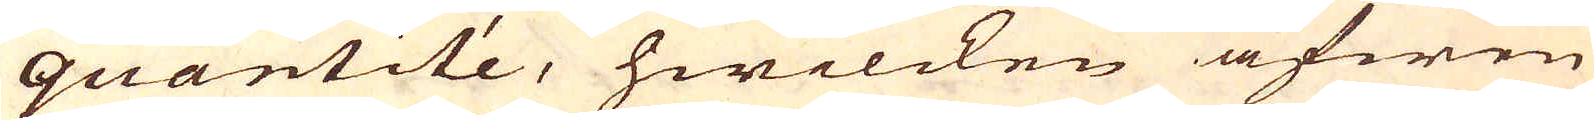quantité, hwilcken äfwen
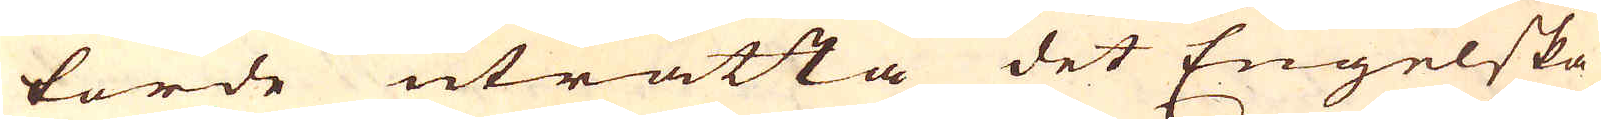torde uträtta det Engelska
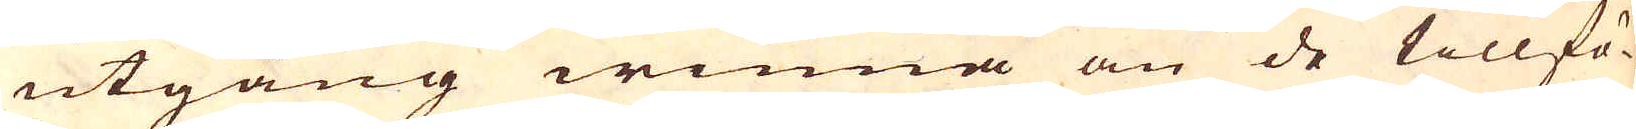utgång winna än de tillfö-
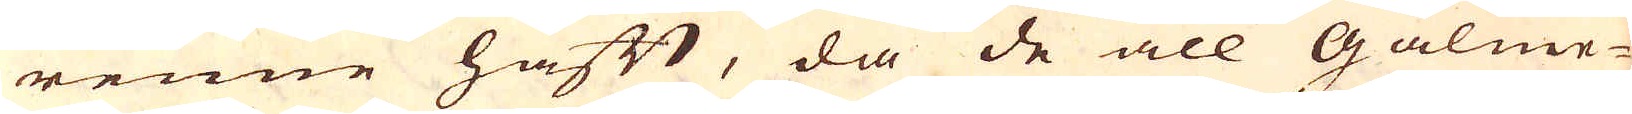renne haft, då de all Galme-
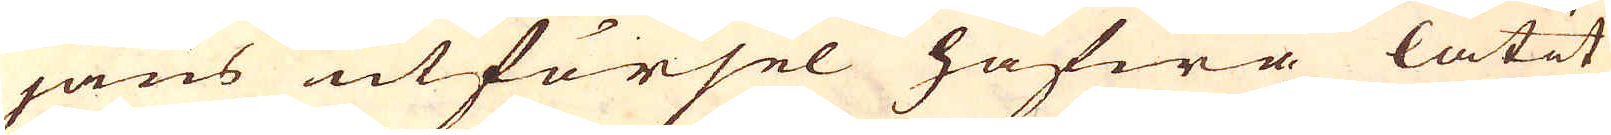jans utförsel hafwa låtit
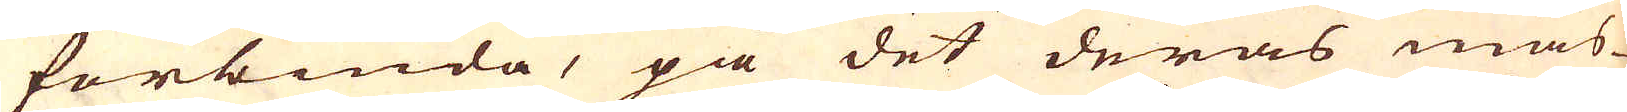förbiuda, på det deras mäs-
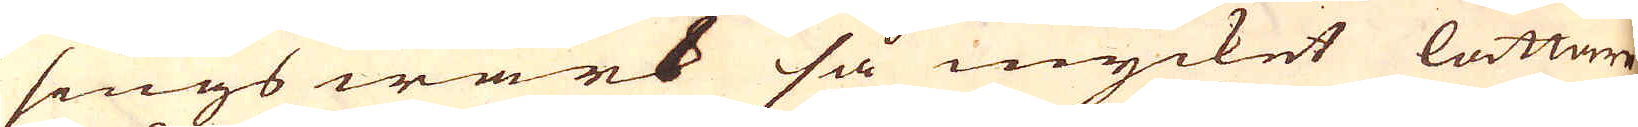sings wärk så mycket lättare
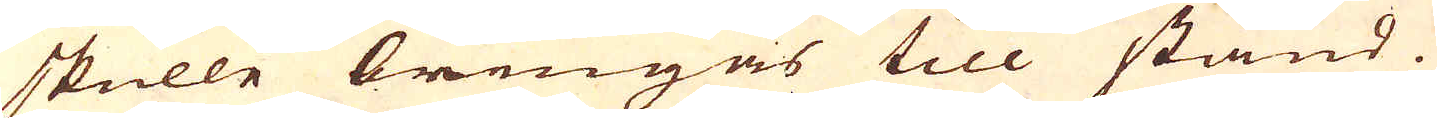skulle bringas till stånd.
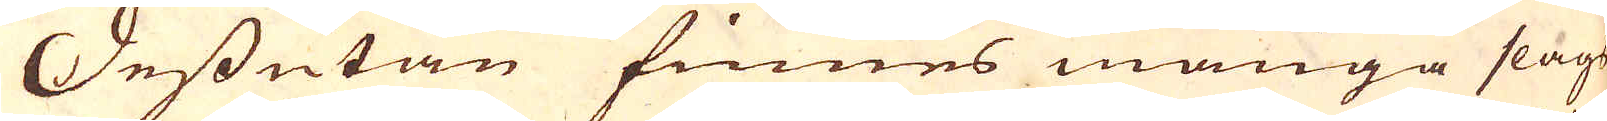Dessutan finnes många slags
